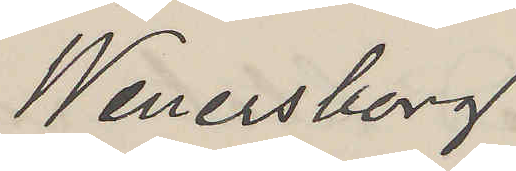Wenersborg
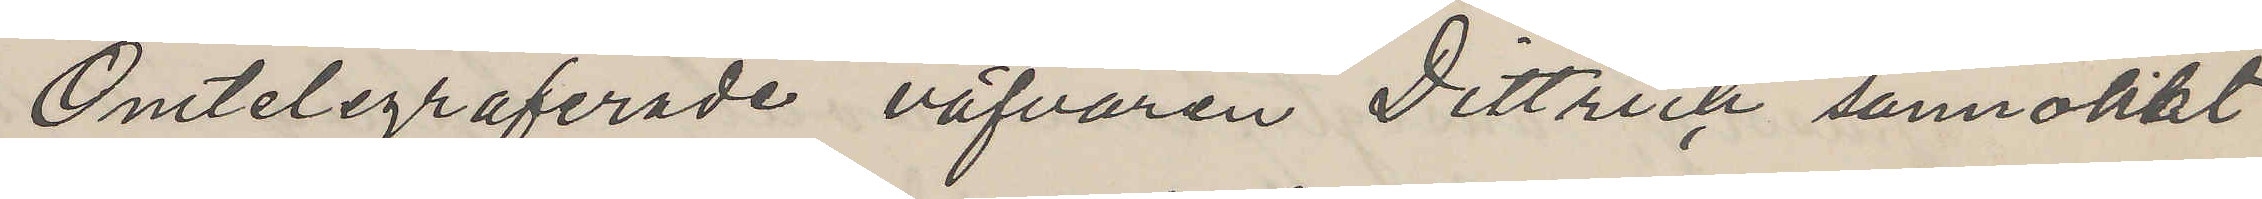Omtelegraferade väfvaren Dittrich sannolikt
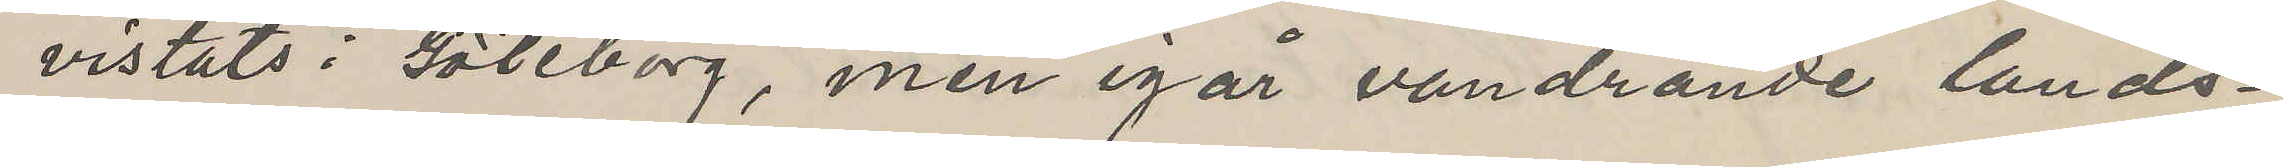vistats i Göteborg, men igår vandrande lands¬
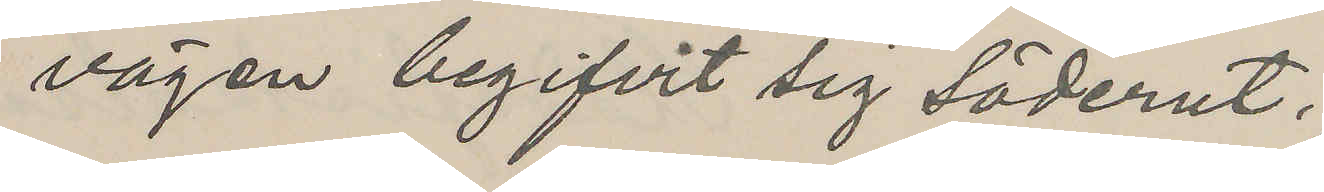vägen begifvit sig söderut.
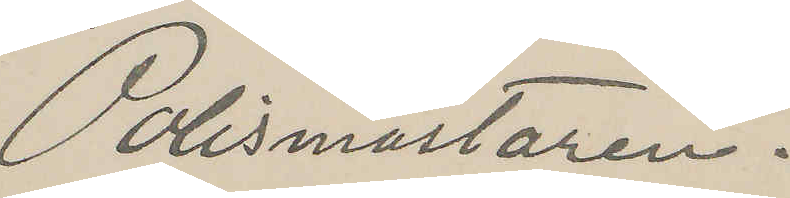Polismästaren.
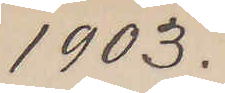1903.
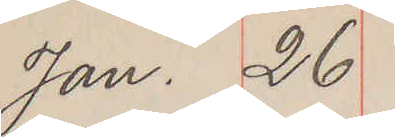Jan. 26
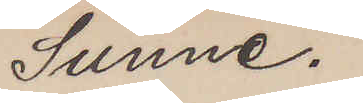Sunne.
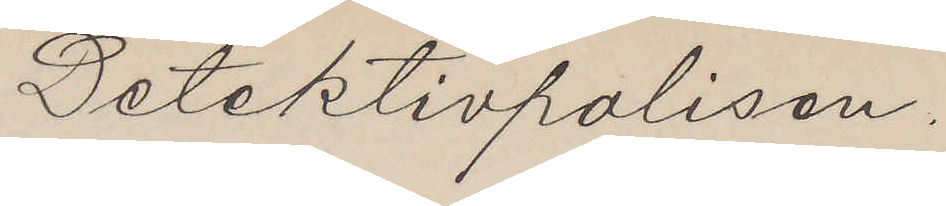Detektivpolisen,
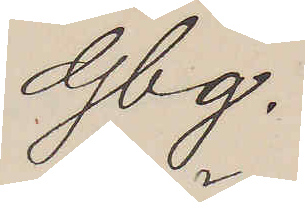Gbg.
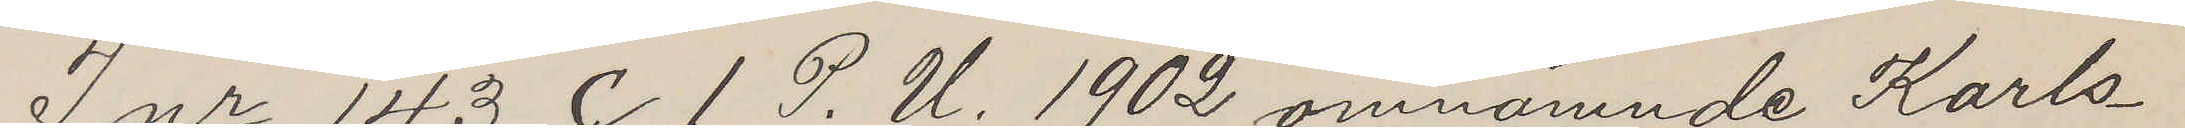I nr 143 C 1 P. U. 1902 omnämnde Karls¬
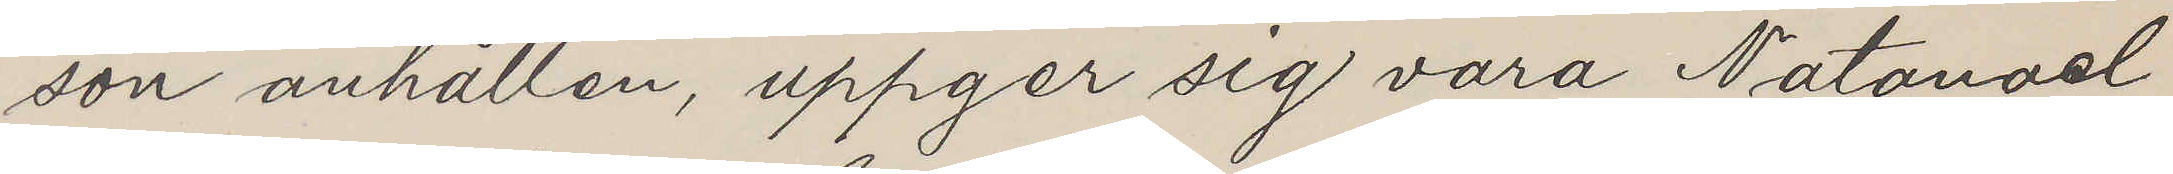son anhållen, uppger sig vara Natanael
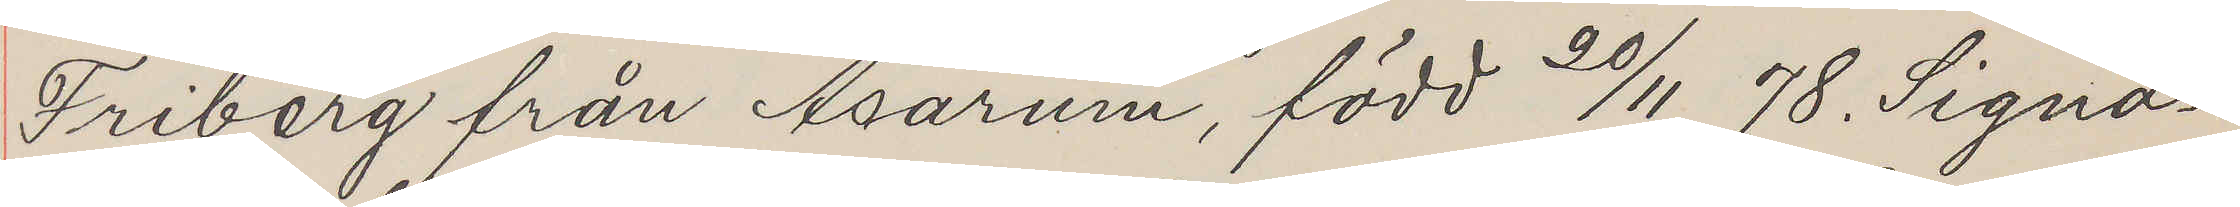Friberg från Asarum, född 20/11 78. Signa¬
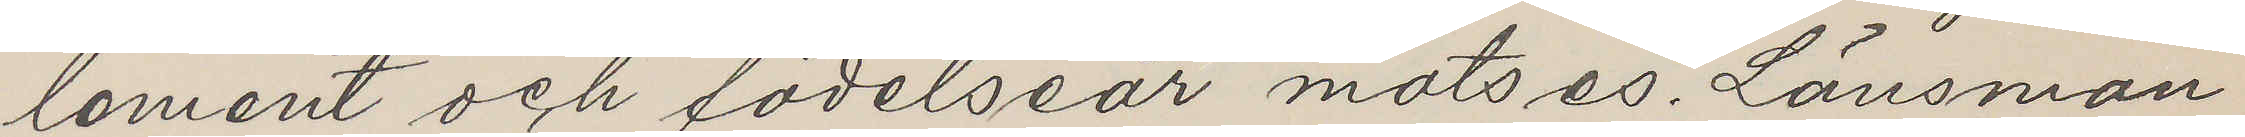lement och födelseår motses. Länsman
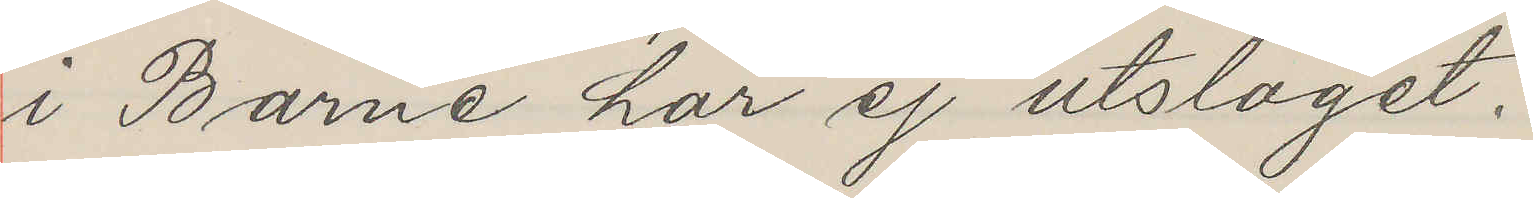i Barne har ej utslaget,
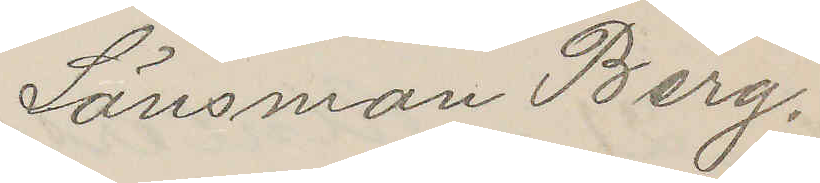Länsman Berg.
